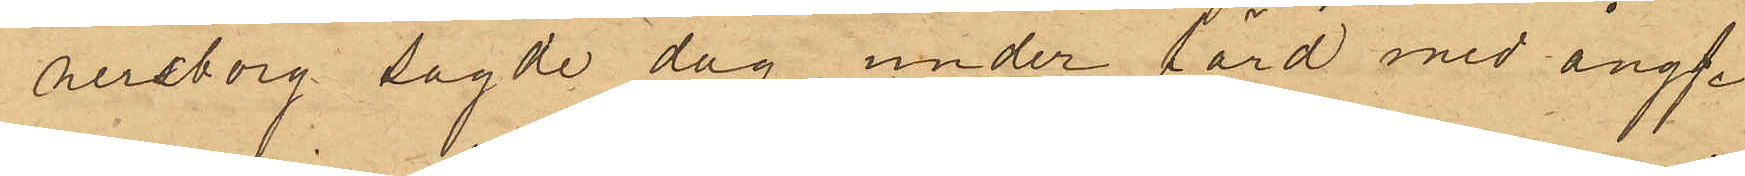ersborg sagde dag under färd med ångf.
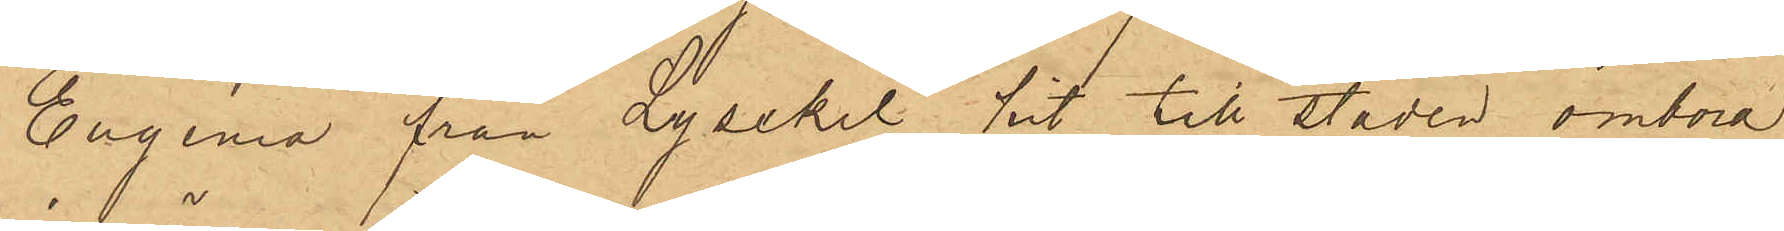Eugenia från Lysekil hit till staden ombord
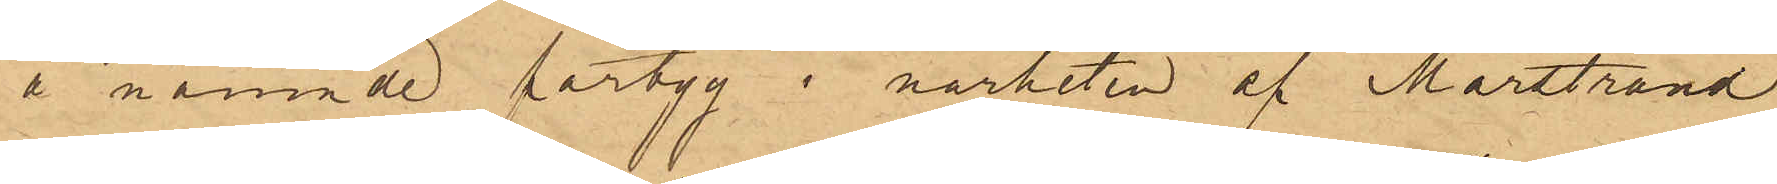å nämnde fartyg i närheten af Marstrand
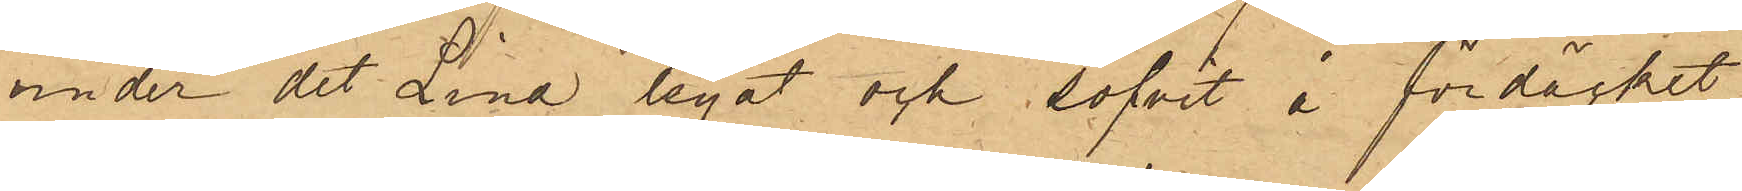under det Lind legat och sofvit å fördäcket
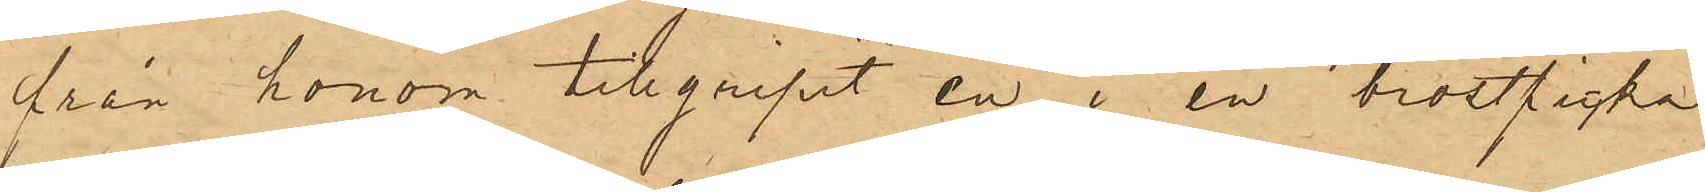från honom tillgripit en i en bröstficka
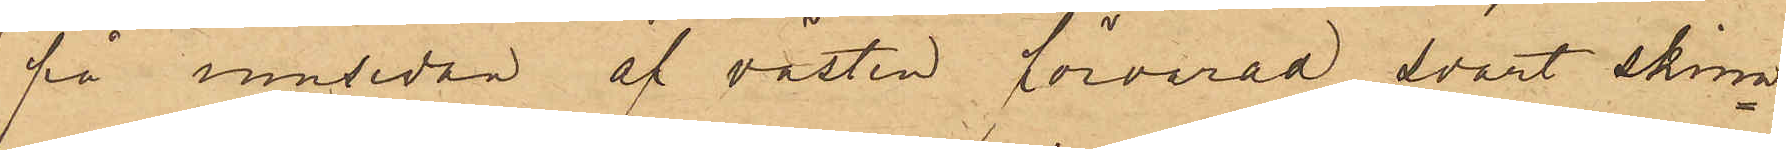på insidan af västen förvarad svart skinn¬
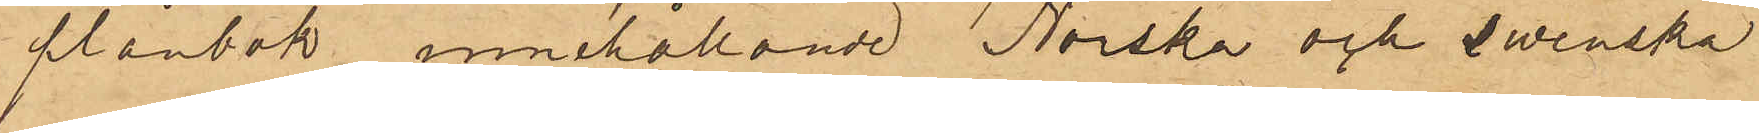plånbok innehållande Norska och swenska
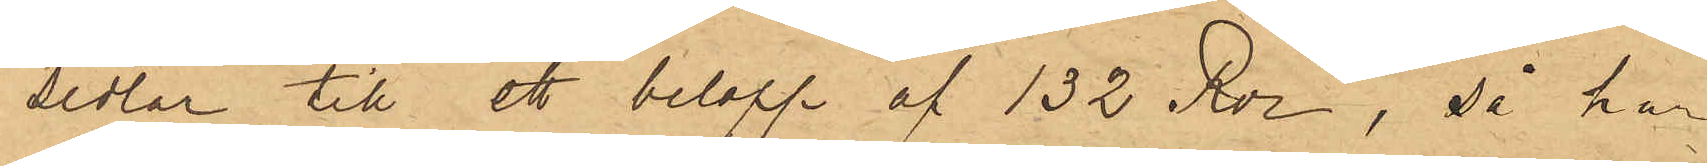sedlar till ett belopp af 132 Rdr, så har
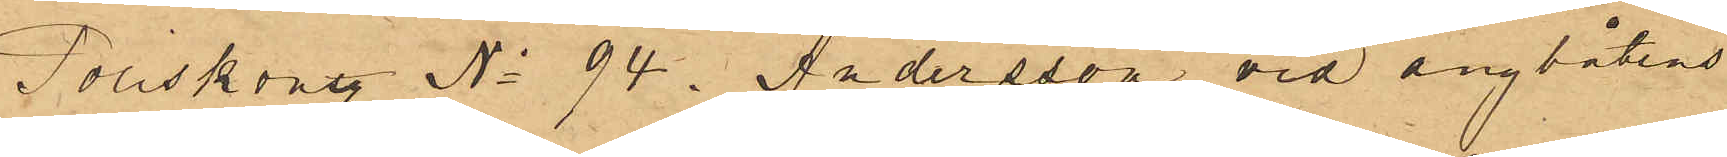Poliskonstl No 94. Andersson vid ångbåtens
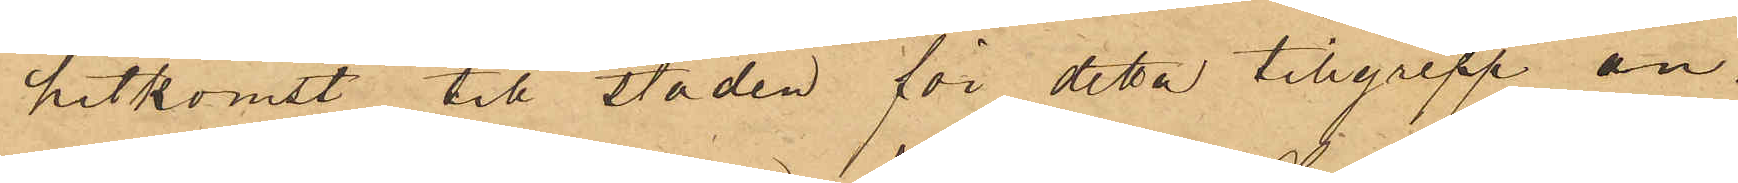hitkomst till staden för detta tillgrepp an¬
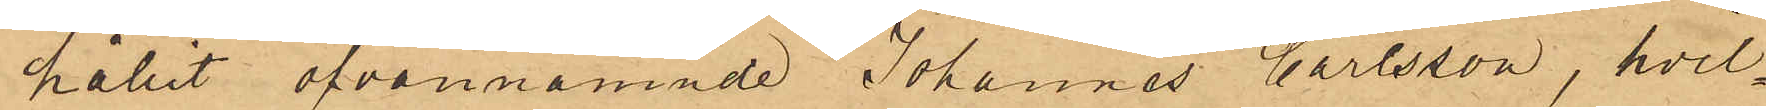hållit ofvannämnde Johannes Carlsson, hvil¬
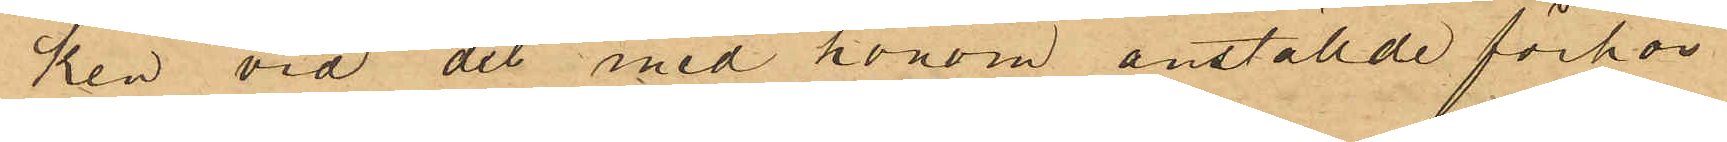ken vid det med honom anställde förhör
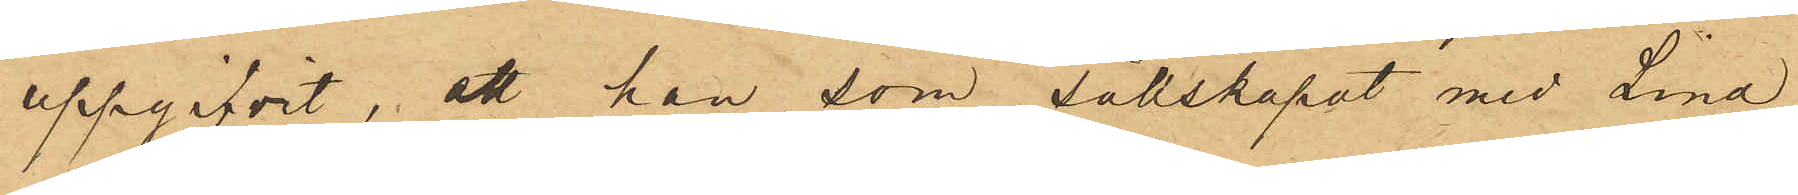uppgifvit, att han som sällskapat med Lind
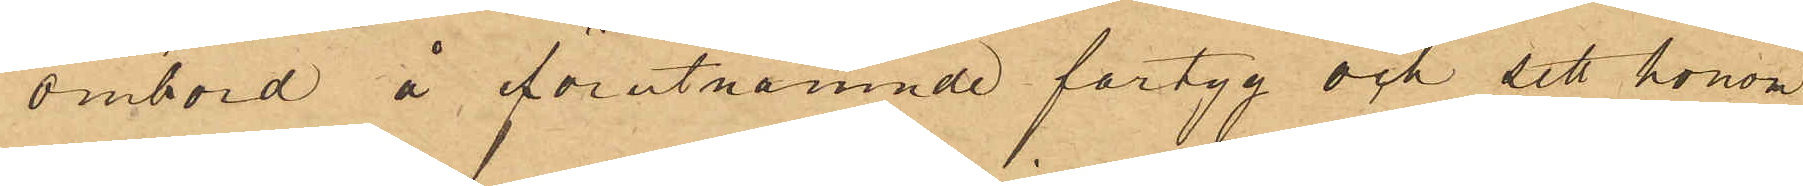ombord å förutnämnde fartyg och sett honom
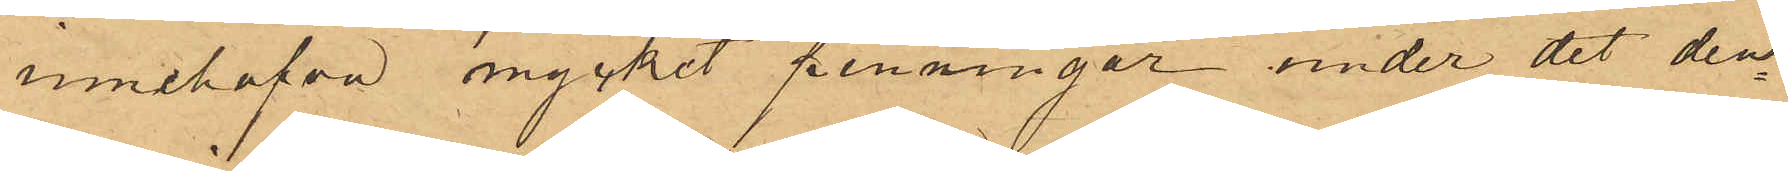innehafva mycket penningar under det den¬
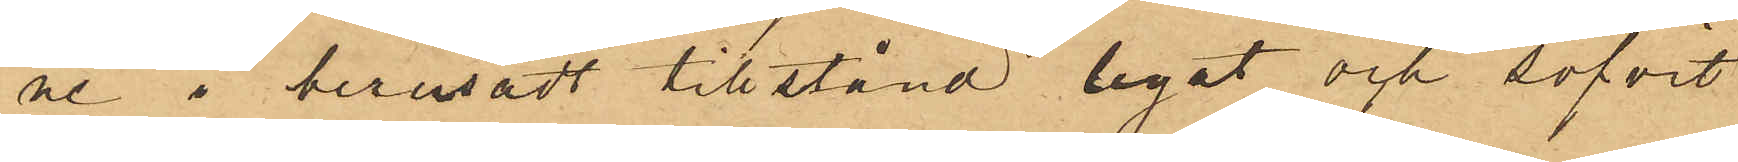ne i berusadt tillstånd legat och sofvit
